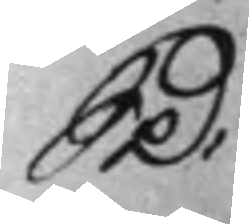S D:
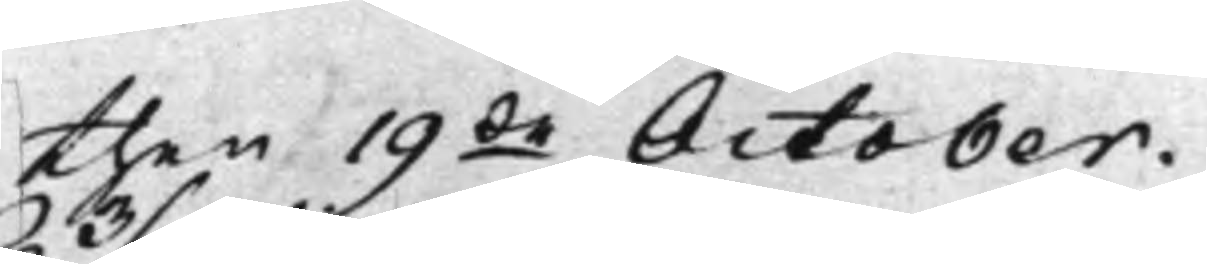then 19de October.
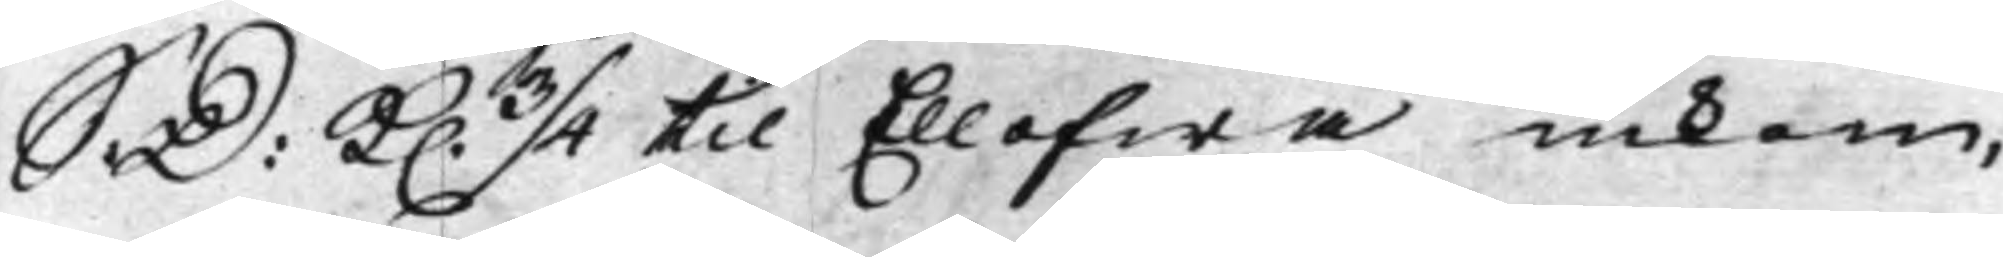S: D: K. 3/4 til Ellofwa inkom,
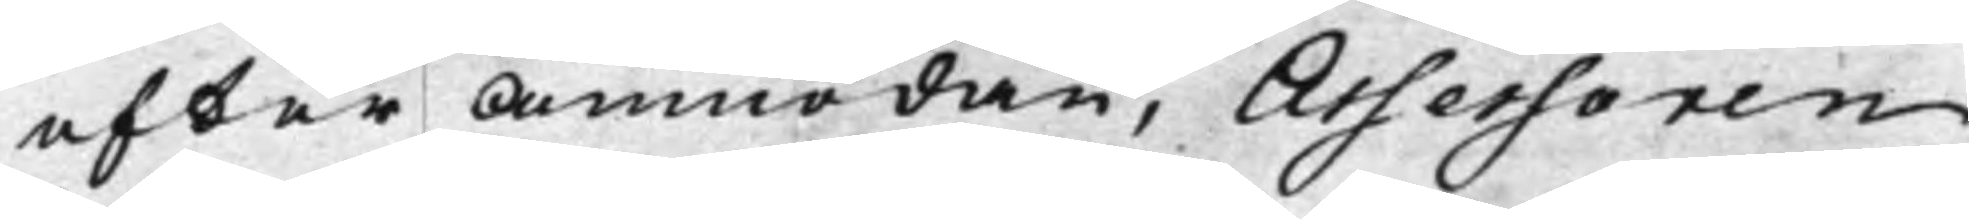efter Anmodan, Assessoren
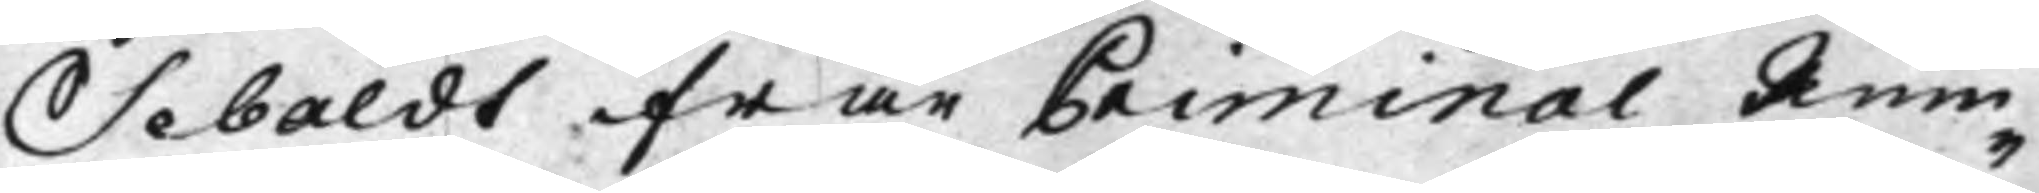Sebaldt ifrån Criminal Rum¬
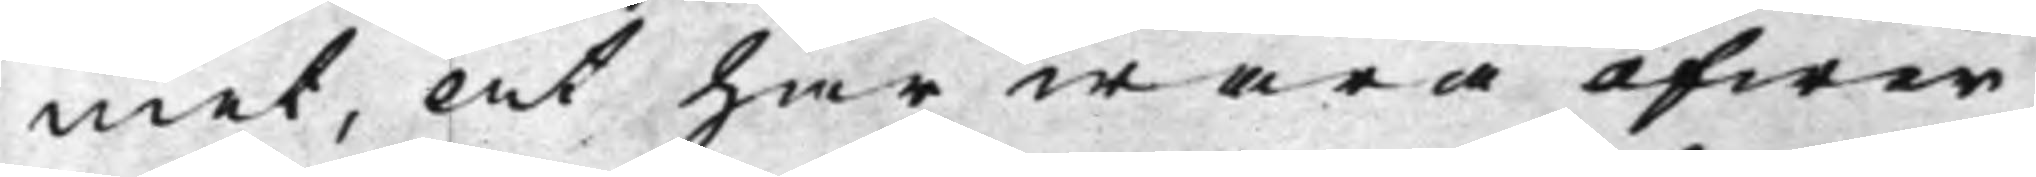met, At här wara öfwer
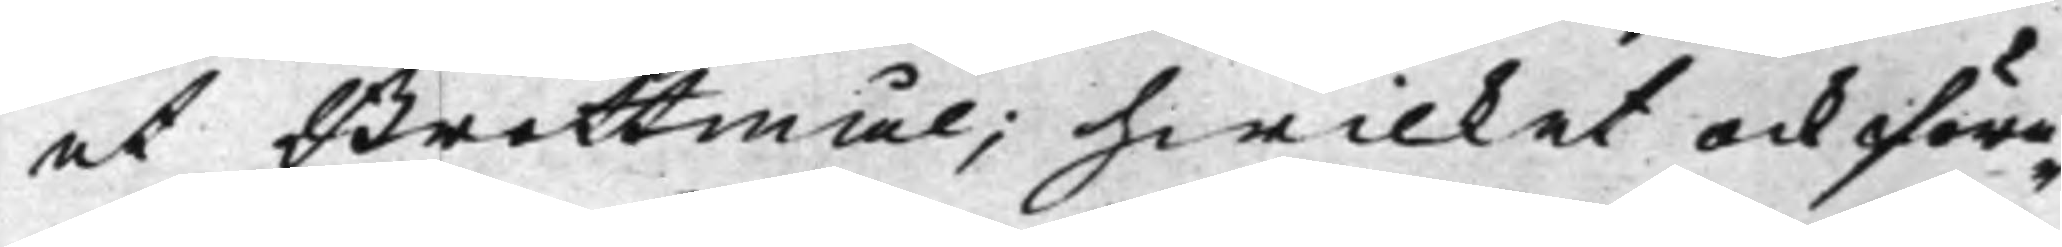et Brottmål; hwilket ock före¬
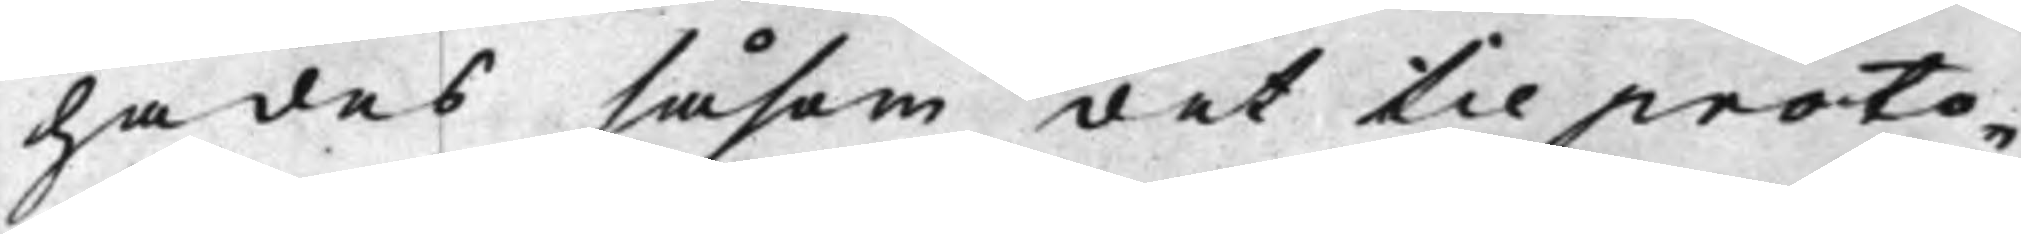hades såsom det til proto¬
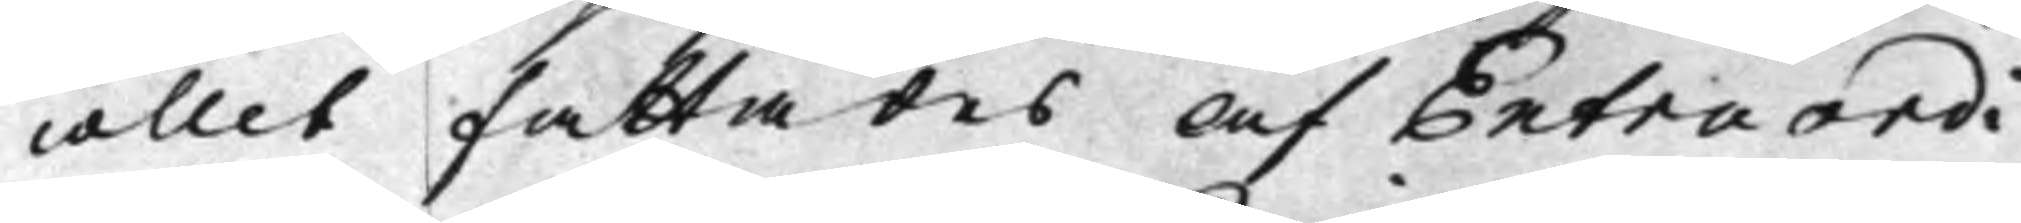collet fattades af Extraordi¬
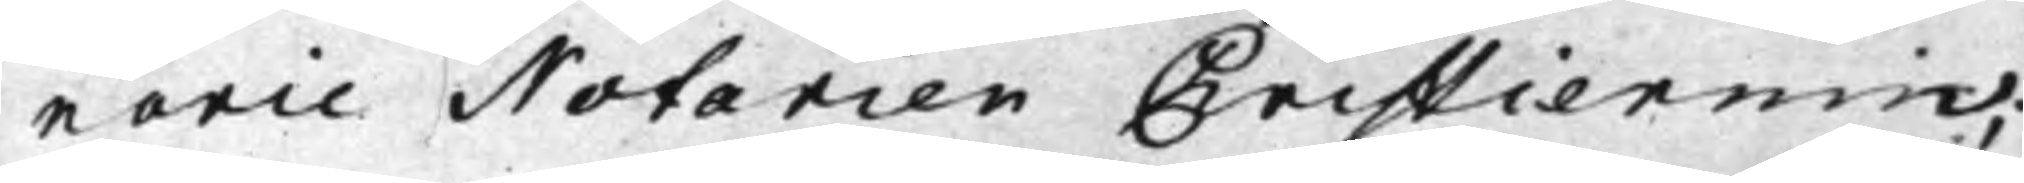narie Notarien Cristiernin;
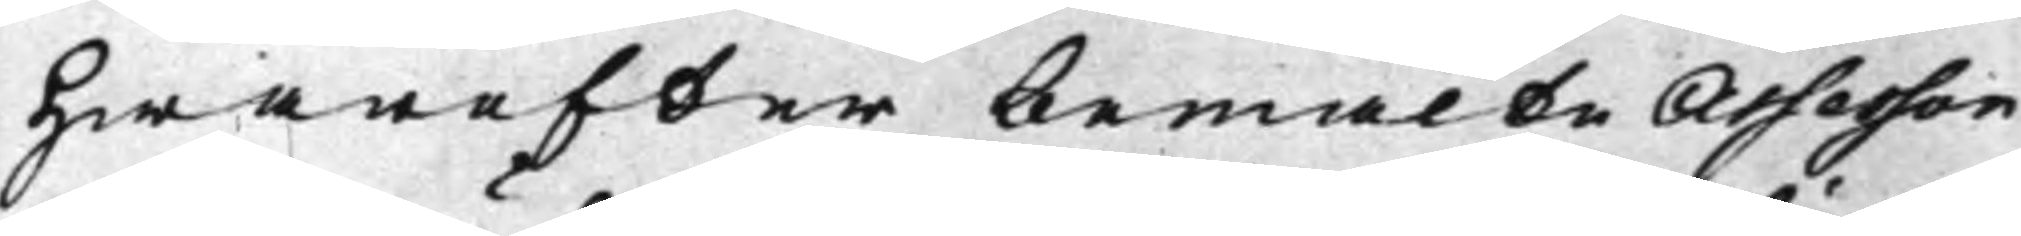Hwarefter bemälte Assessor
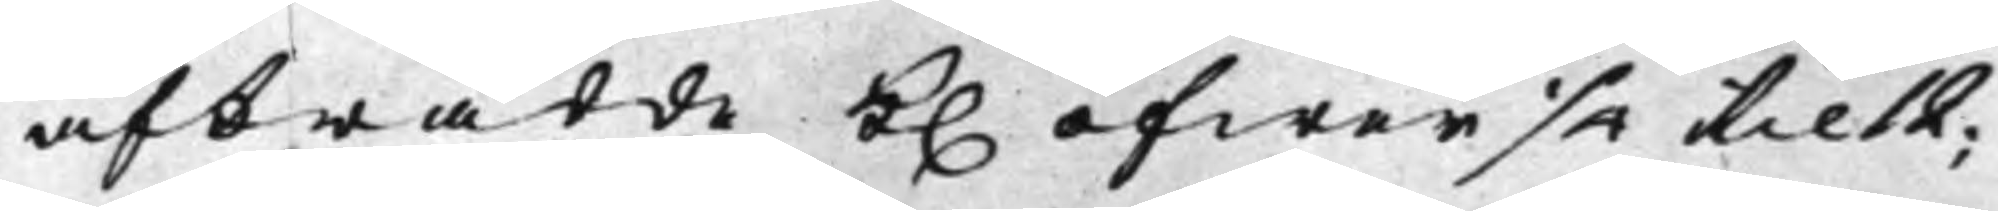afträdde K. öfwer 1/4 til 12;
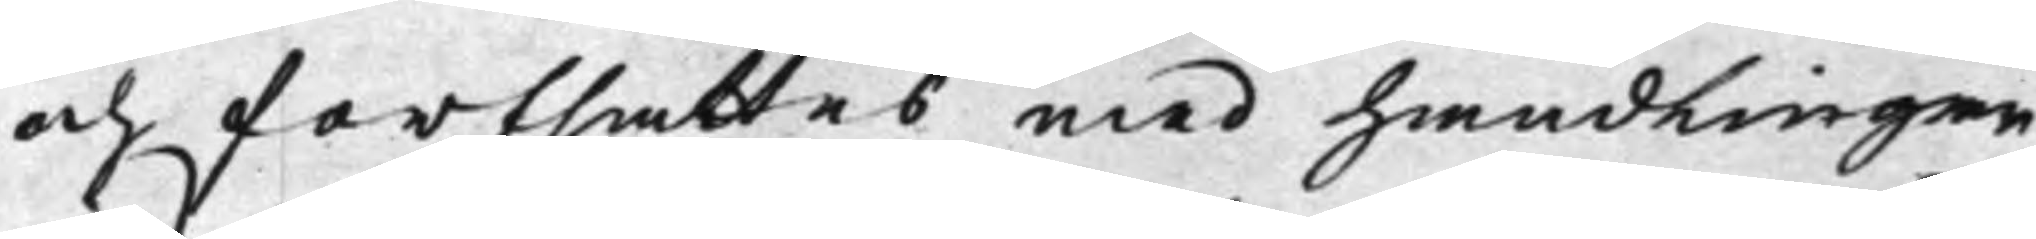och fortsattes med handlingar¬
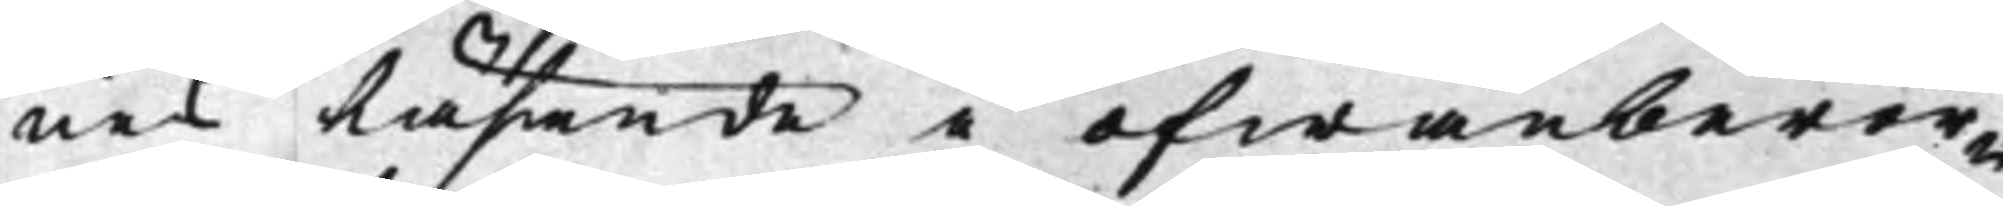nes Läsande i ofwanberör¬
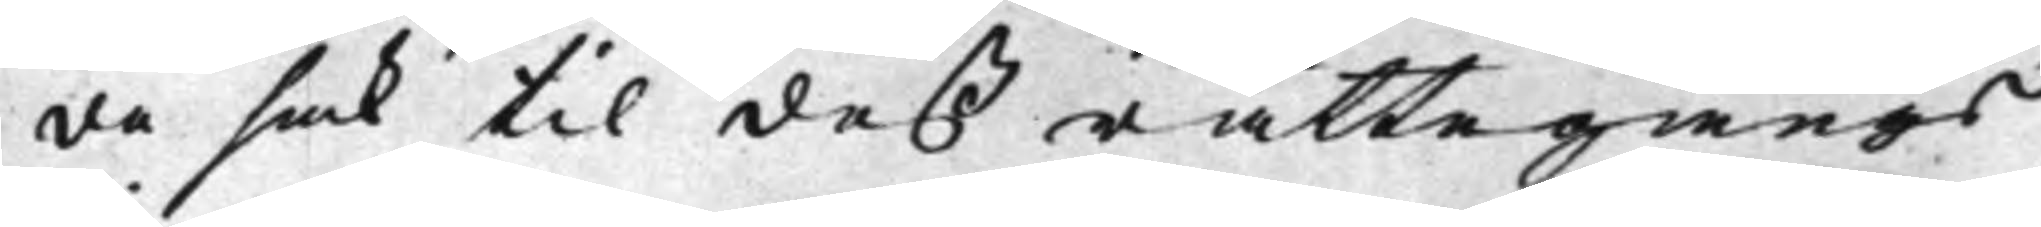de sak til deß rättegångs
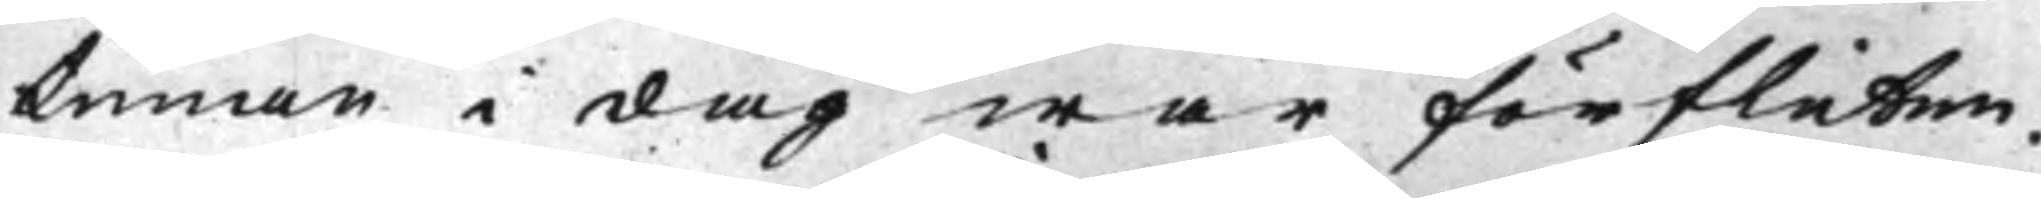timan i dag war förfluten.
